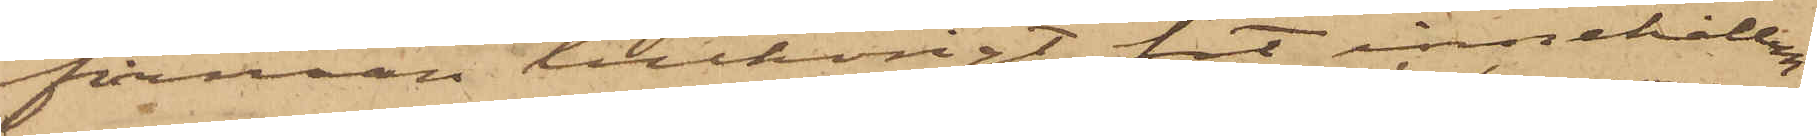firman tillhörigt fat innehållan¬
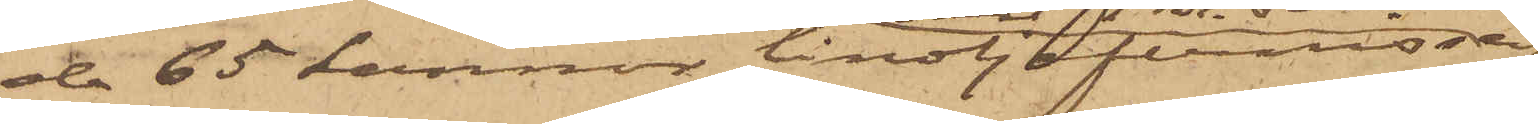de 65 kannor linoljefernissa
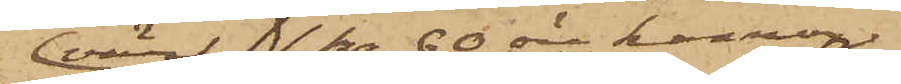värt1 Kr. 60 öre kannan,
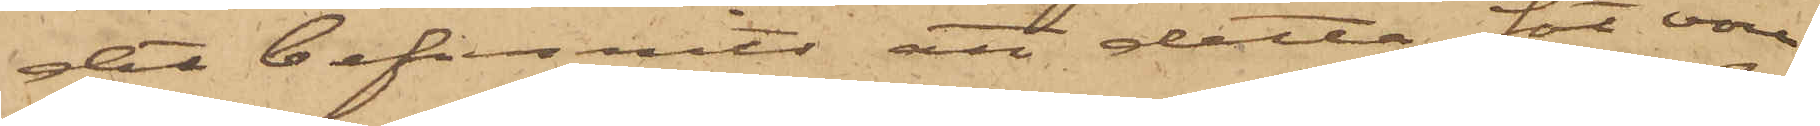det befunnits att detta fat vore
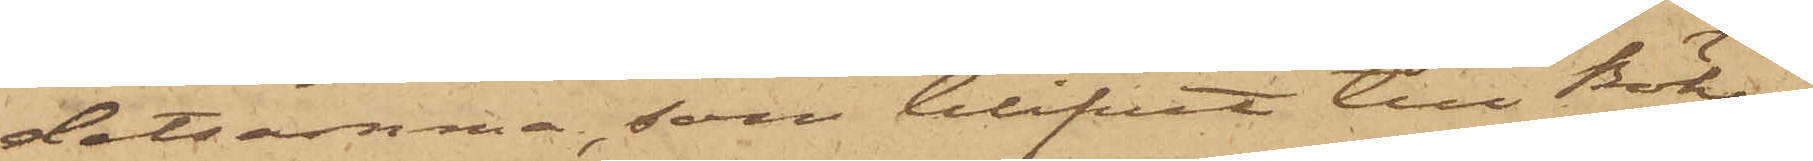detsamma, som blifvit till Böke¬
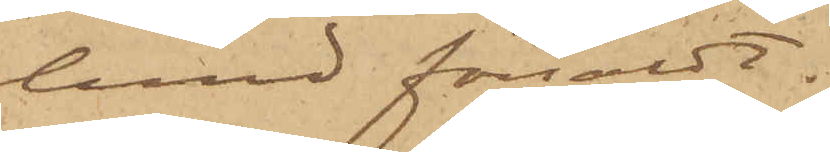lund försåldt.
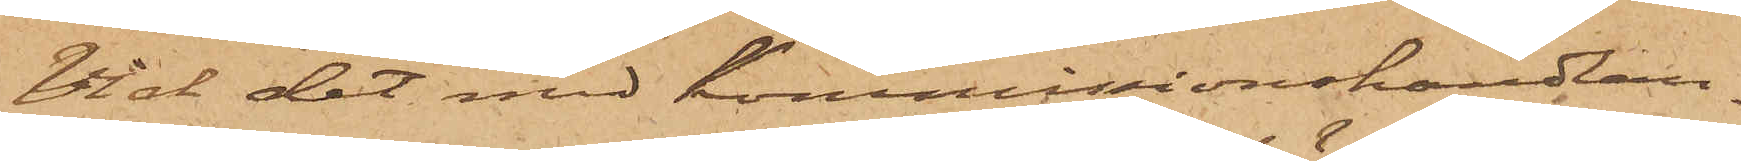Vid det med Kommissionshandlan¬
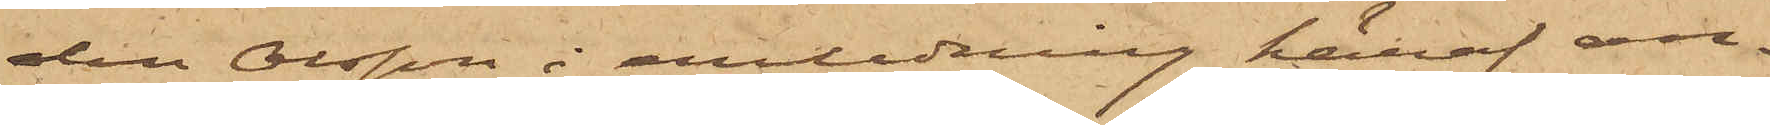den Olsson i anledning häraf an¬
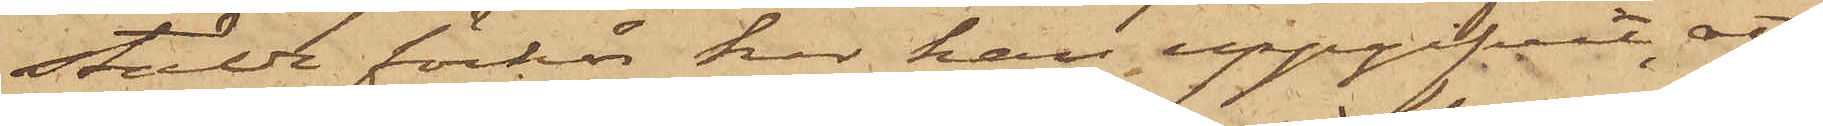stälde förhör har han uppgifvit, att
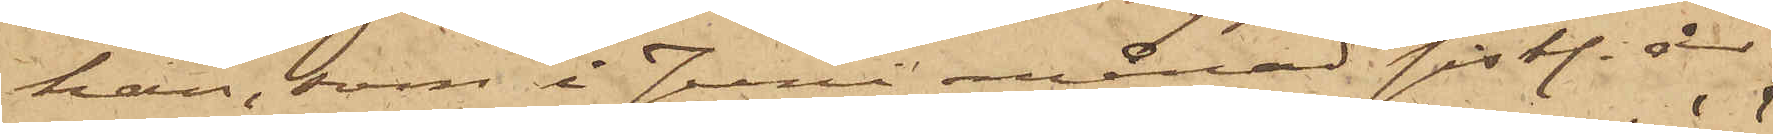han, som i Juni månad sistl. år
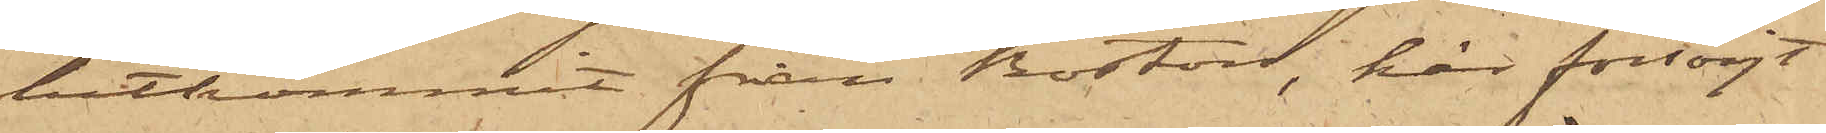hitkommit från Boston, här försörjt
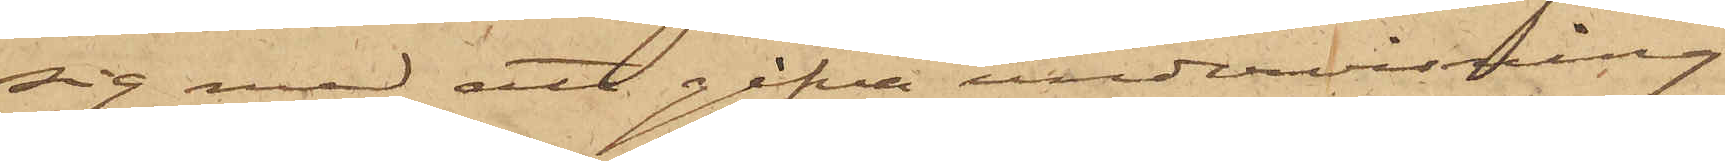sig med att gifva undervisning
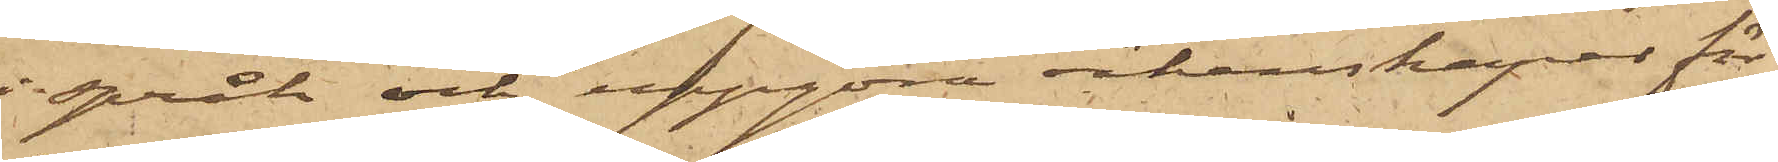i språk och uppgöra räkenskaper för
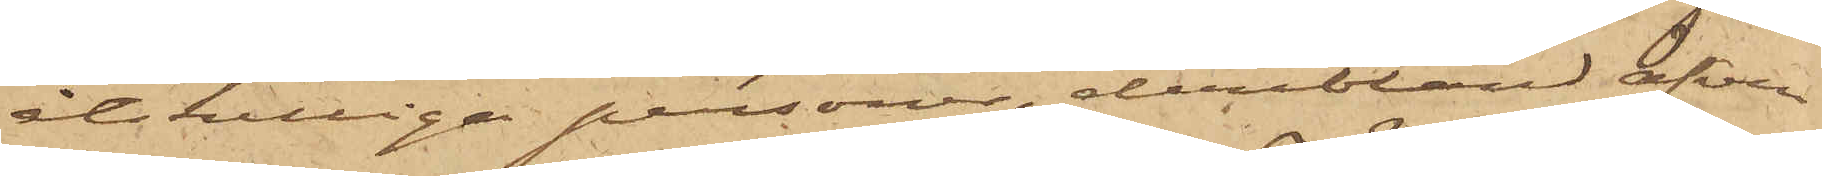åtskilliga personer, deribland äfven
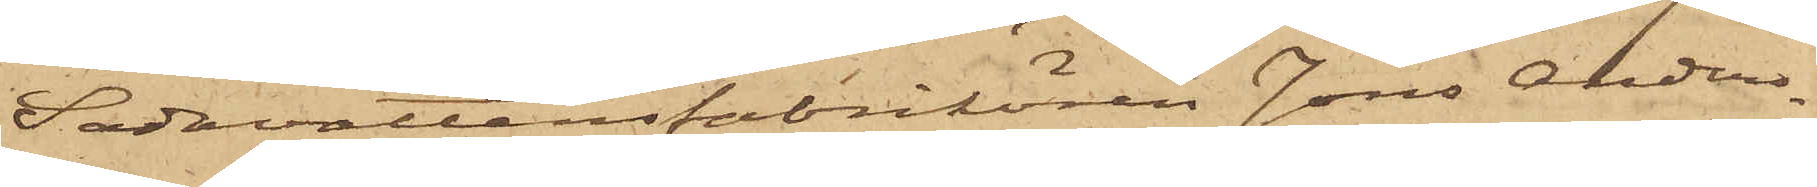Sodavattenfabrikören Jöns Anders¬
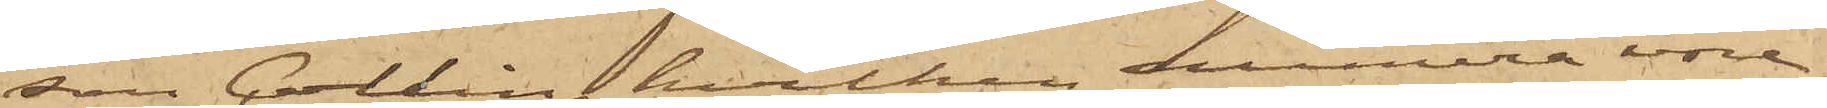son Collin, hvilken numera vore
